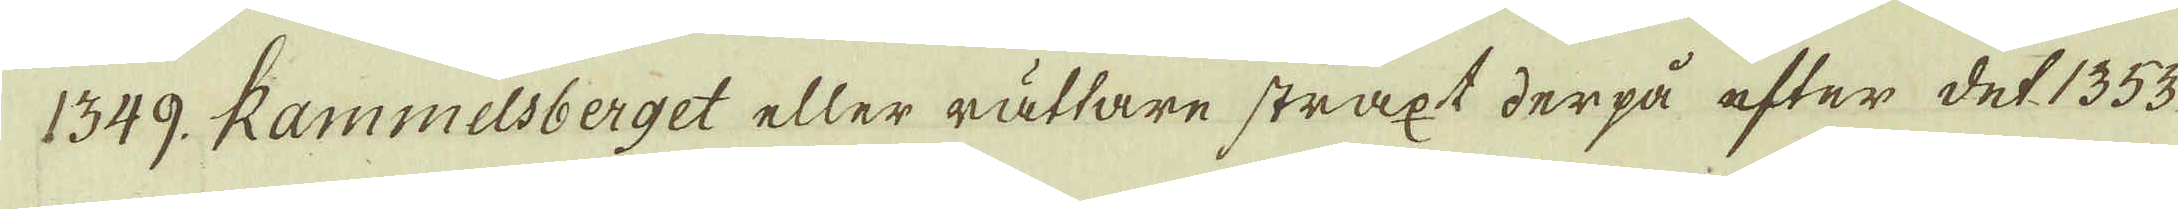1349. Rammelsberget eller rättare straxt derpå efter det 1353
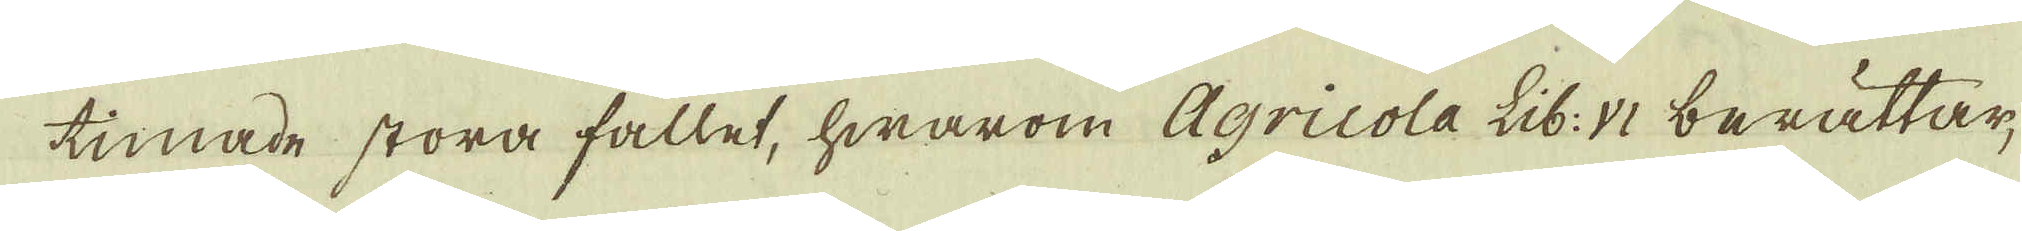timade stora fallet, hwarom Agricola Lib: VI berättar,
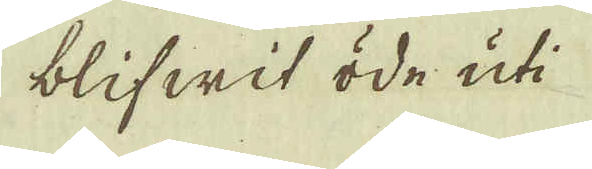blifwit öde uti
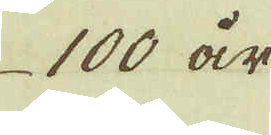100 år
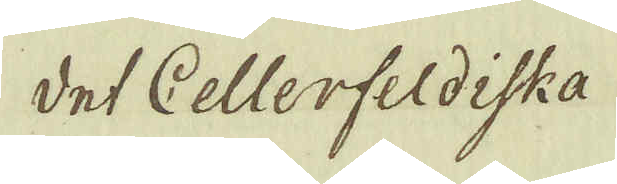det Cellerfeldiska
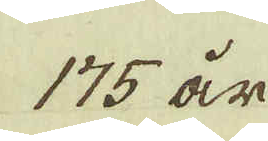175 år
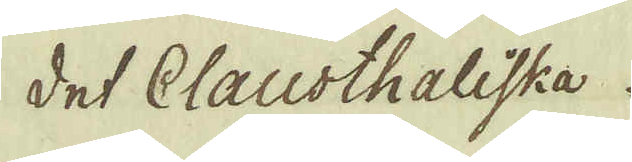det Clausthaliska
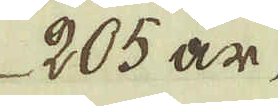205 år
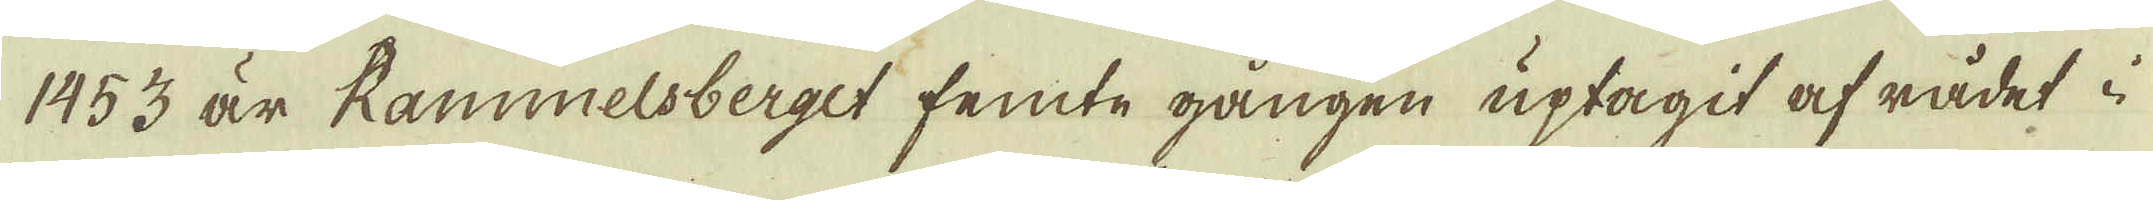1453 är Rammelsberget femte gången uptagit af rådet i
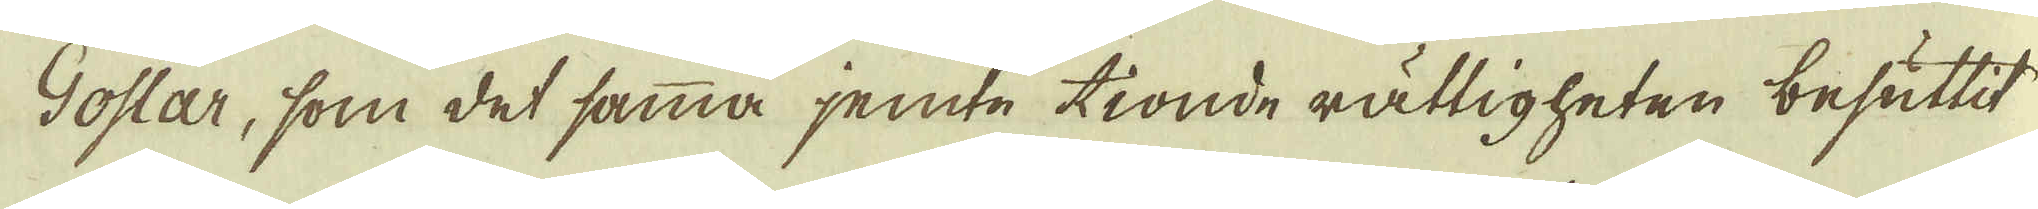Goslar, som det samma jemte tionde rättigheten besuttit
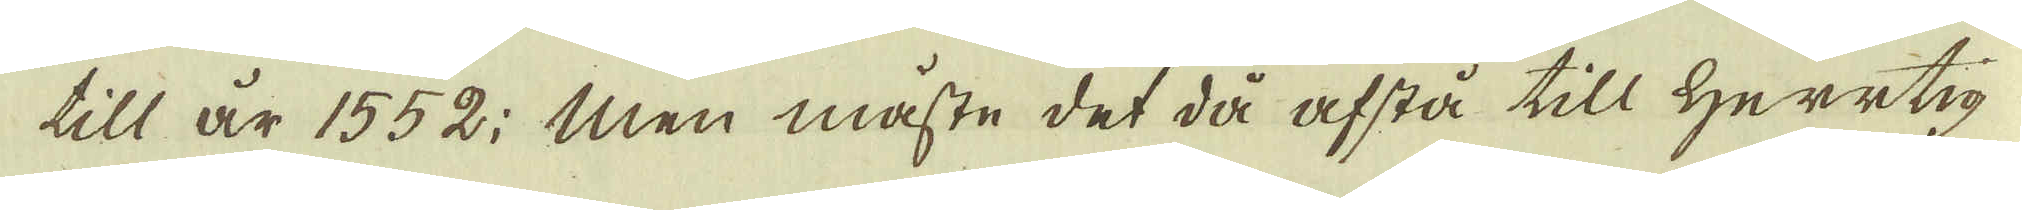till är 1552. Men måste det då afstå till Herrtig
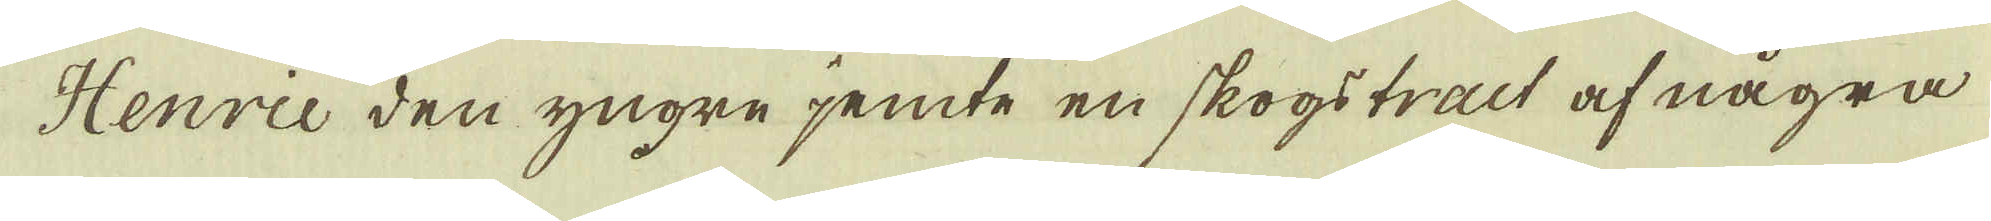Henrie den yngre jemte en skogstract af några
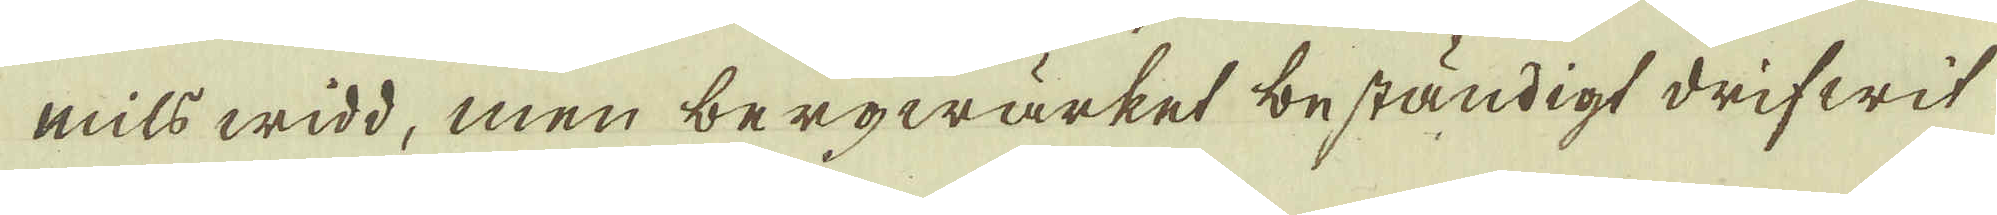mils widd, men bergwärket beständigt drifwit
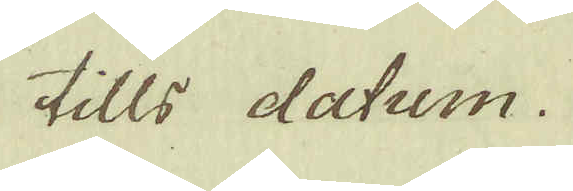tills datum.
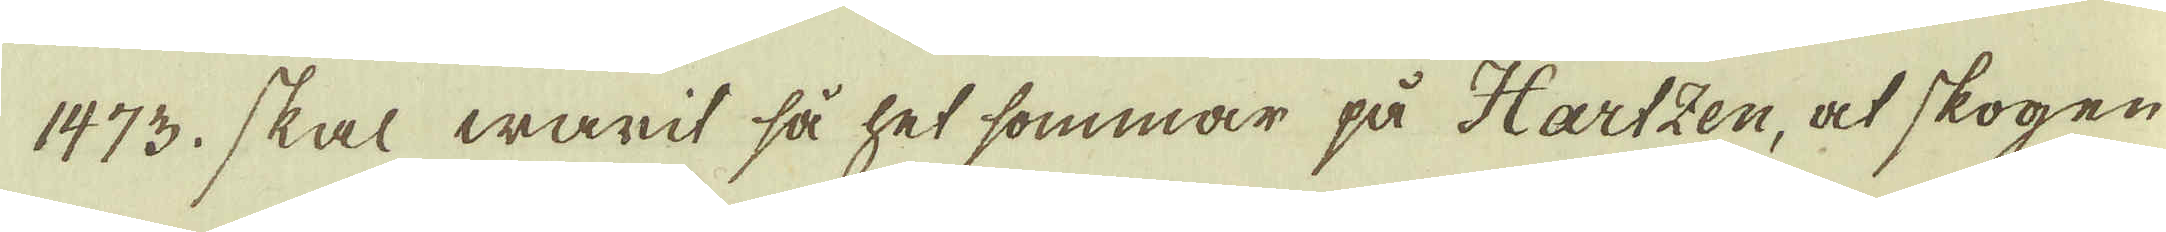1473. skal warit så het sommar på Hartzen, at skogen
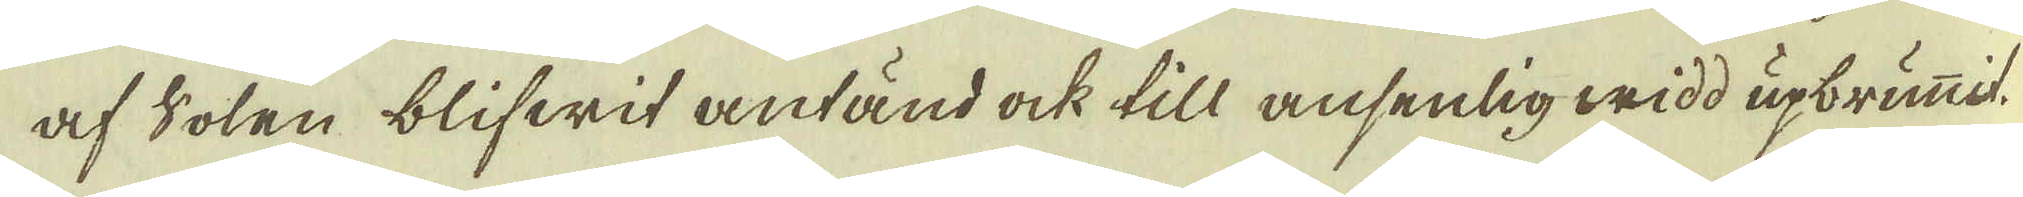af Solen blifwit antänd ock till ansenlig widd upbrunmit.
